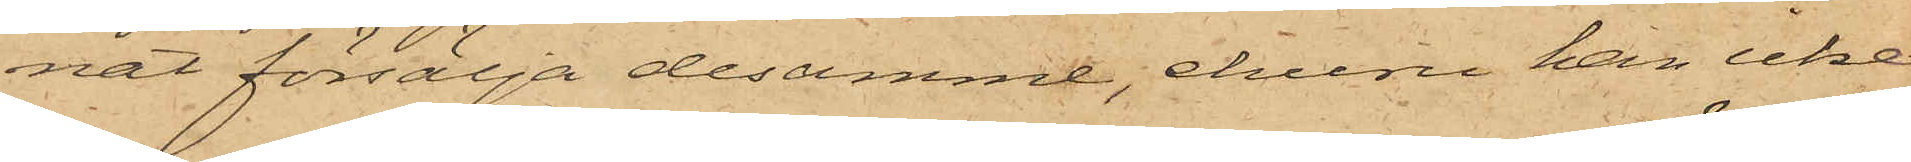nat försälja desamme, ehuru han icke
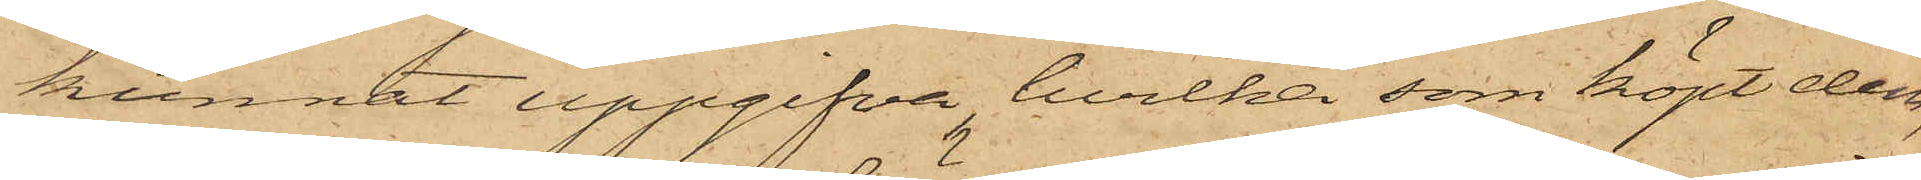kunnat uppgifva, hvilka som köpt dem,
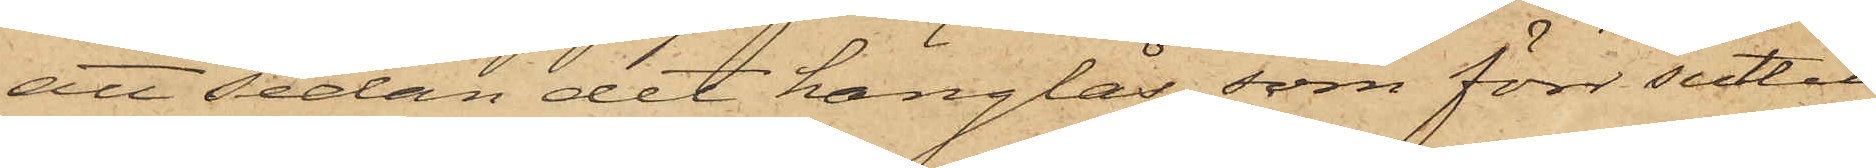att sedan det hänglås, som förr suttit
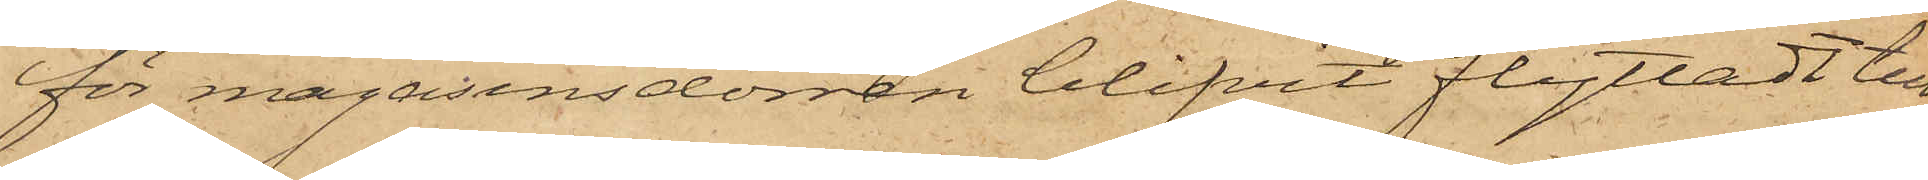för magasinsdörren blifvit flyttadt till
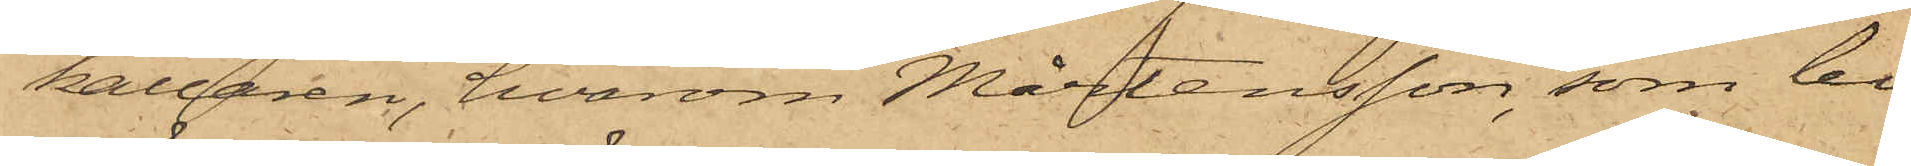källaren, hvarom Mårtensson, som bi¬
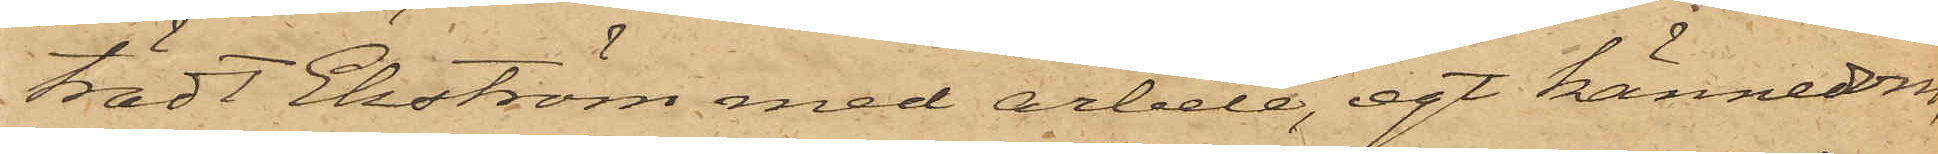trädt Ekström med arbete, egt kännedom,
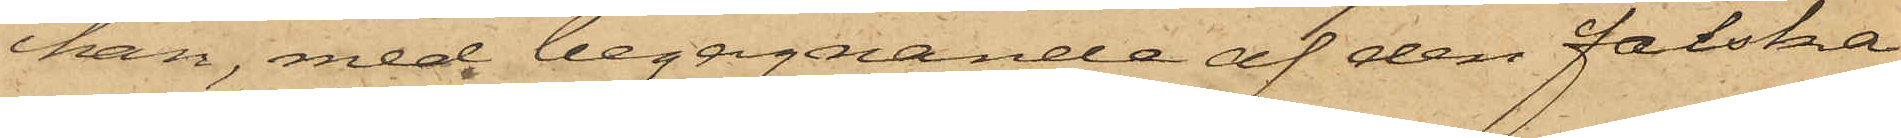han, med begagnande af den falska
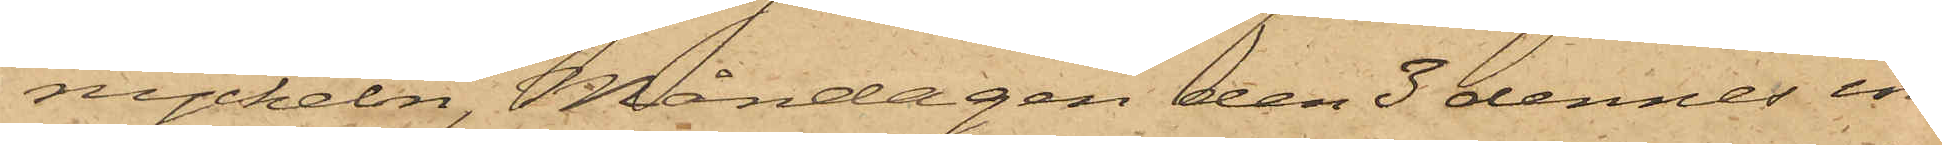nyckeln, Måndagen den 3 dennes in¬
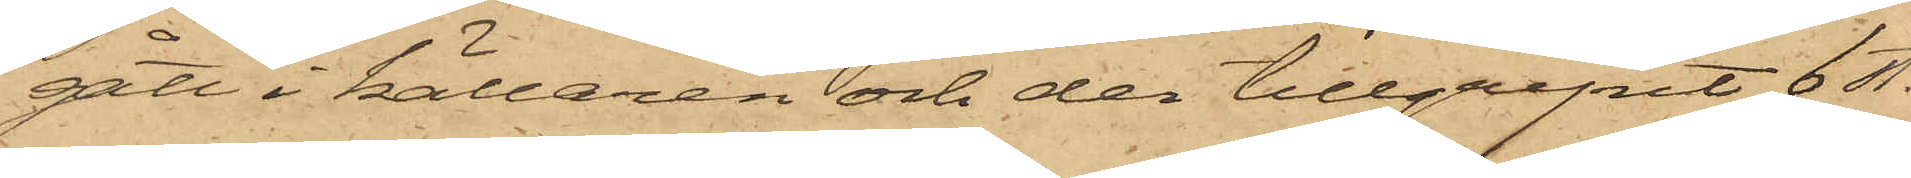gått i källaren och der tillgripit 6 st.
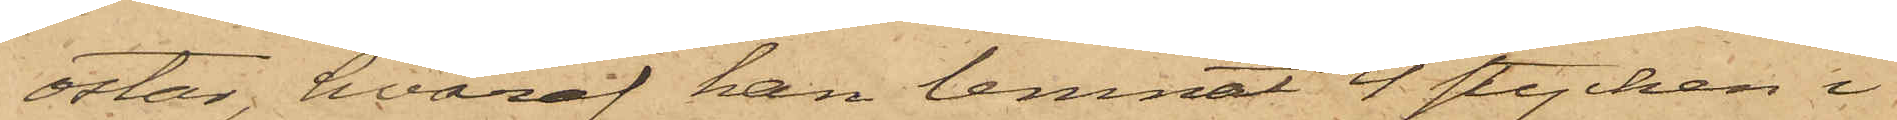ostar, hvaraf han lemnat 4 stycken i
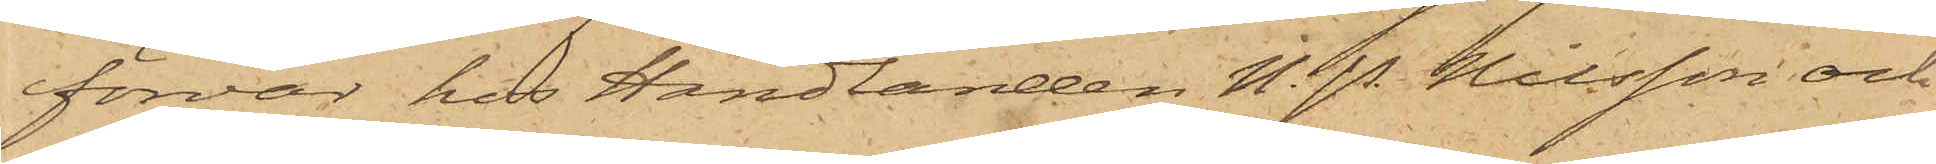förvar hos Handlanden N. P. Nilsson och
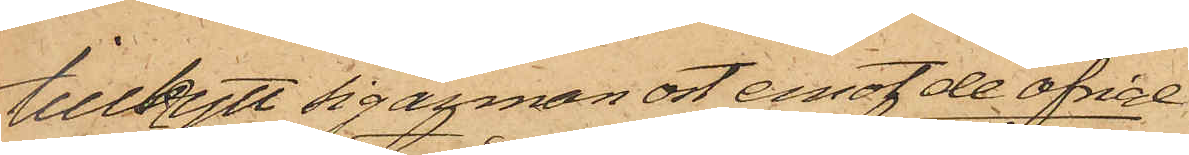tillbytt sig annan ost emot de öfrige;
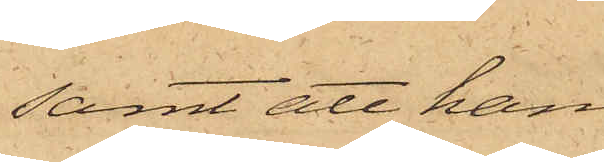samt att han
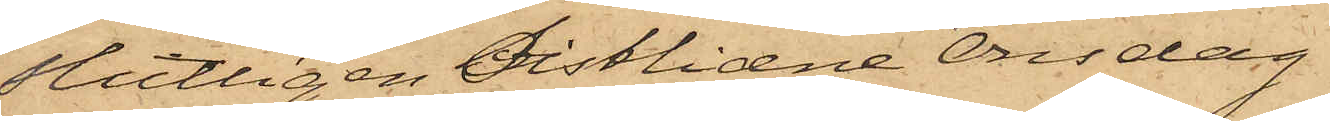slutligen sistlidne Onsdag
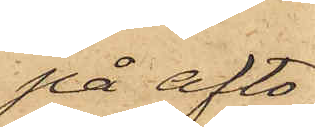på afto¬
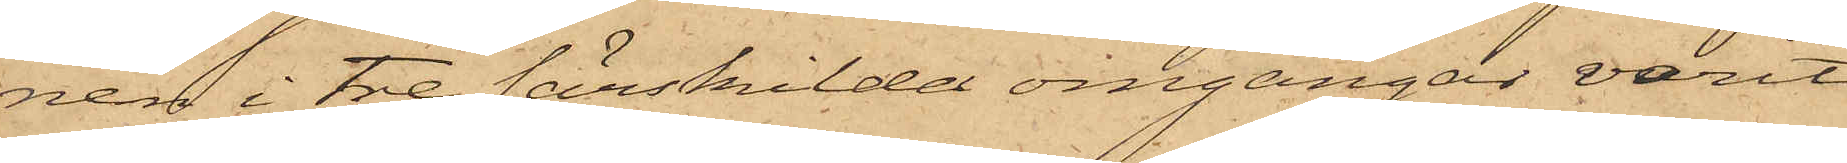nen i tre särskilda omgånger varit
